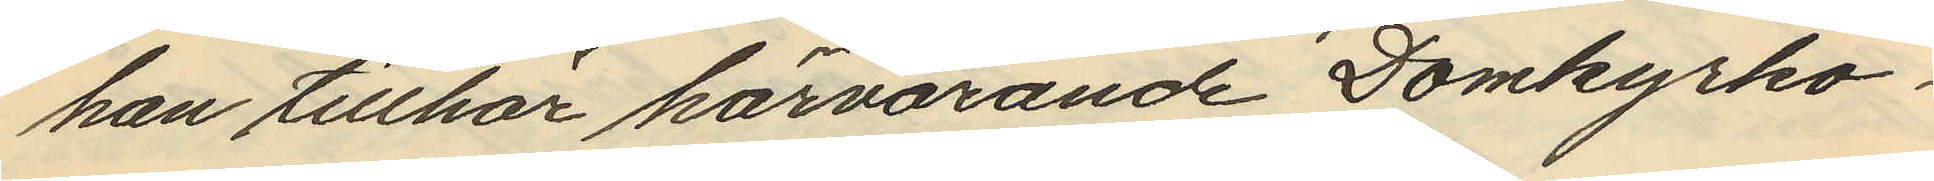han tillhör härvarande Domkyrko¬
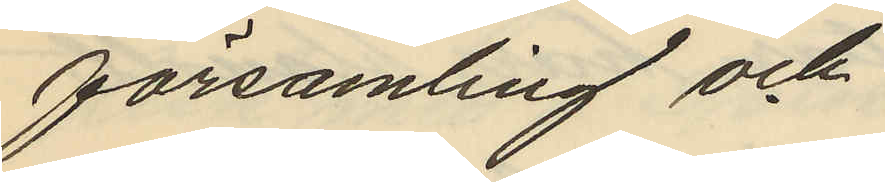församling och
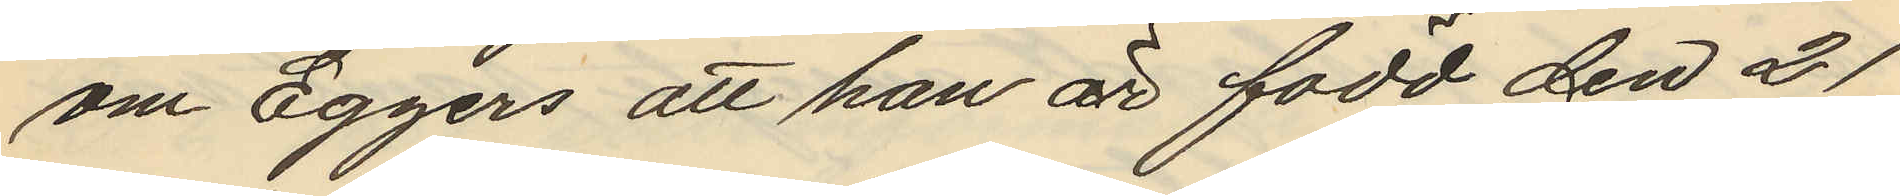om Eggers att han är född den 21
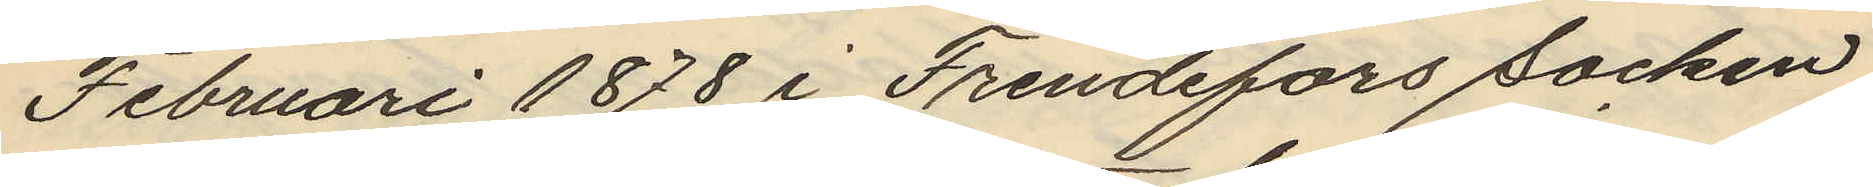Februari 1878 i Frendefors socken
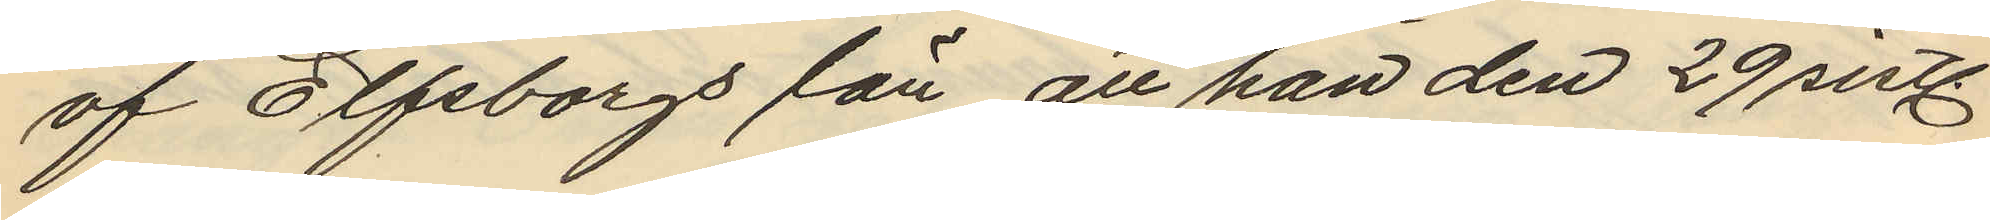af Elfsborgs län, att han den 29 sistl.
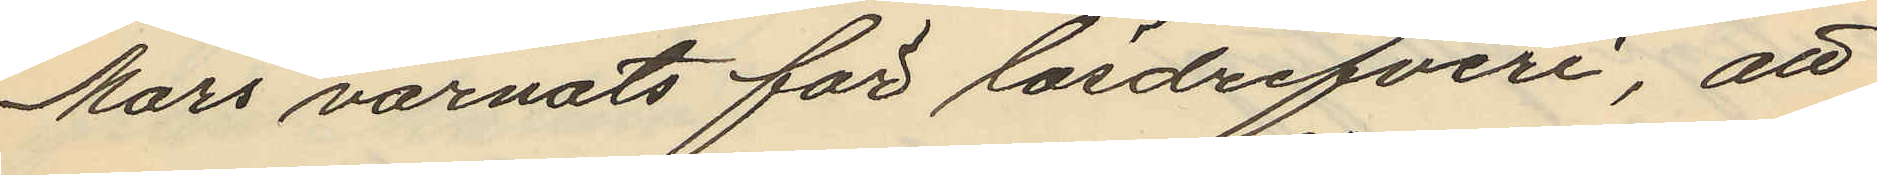Mars varnats för lösdrifveri, att
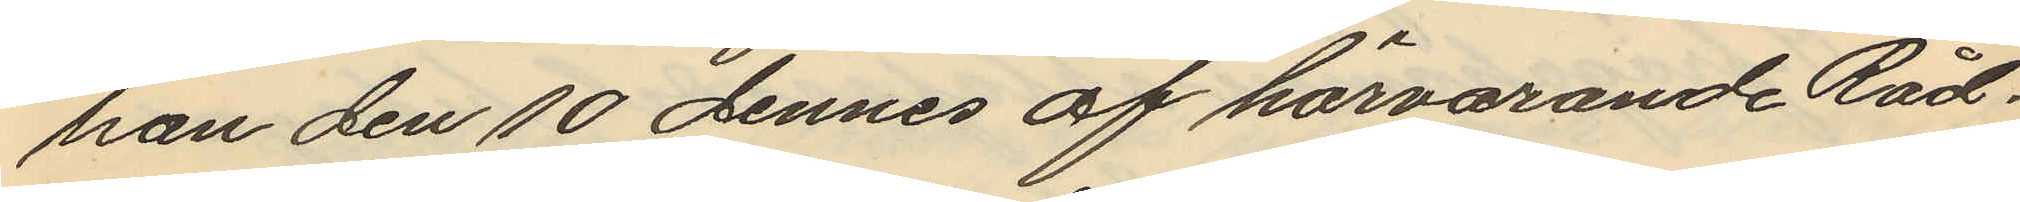han den 10 dennes af härvarande Råd¬
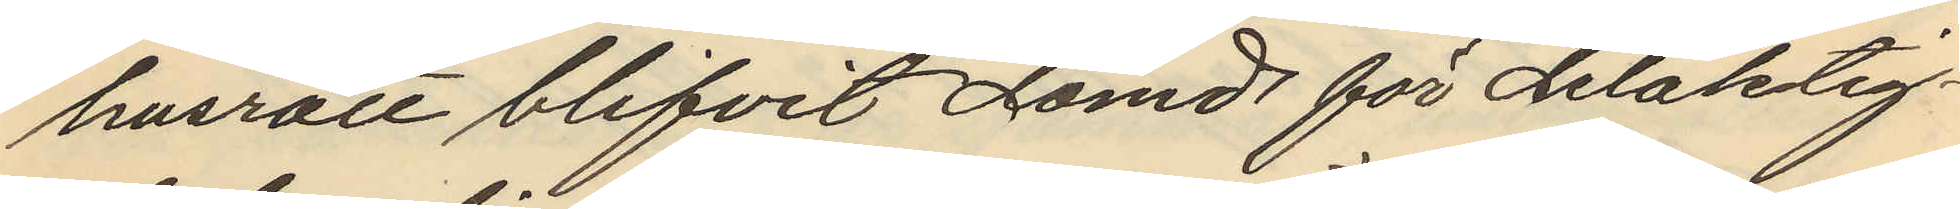husrätt blifvit dömd för delaktig¬
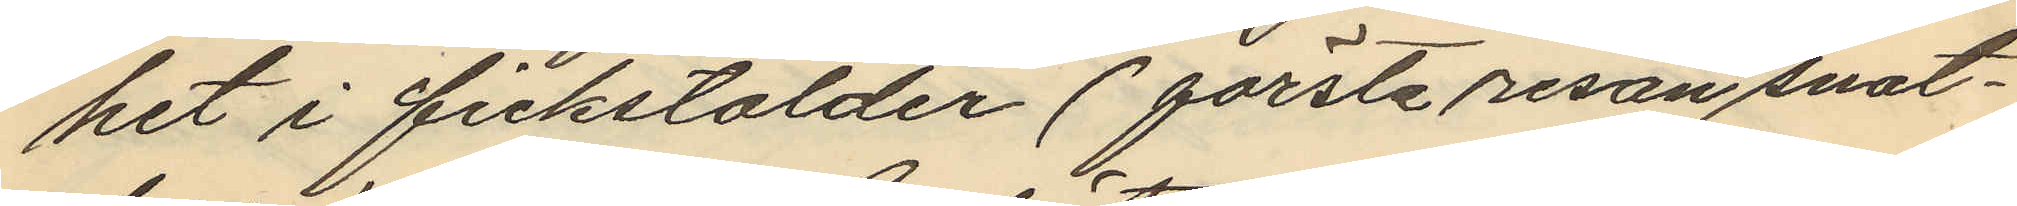het i fickstölder (första resan snat¬
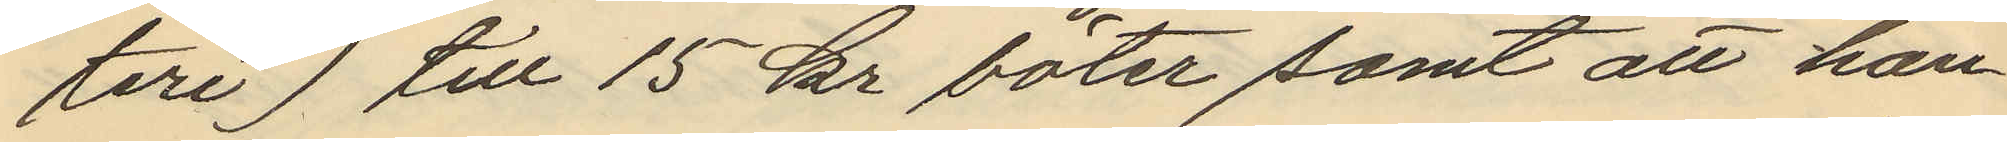teri) till 15 kr böter samt att han
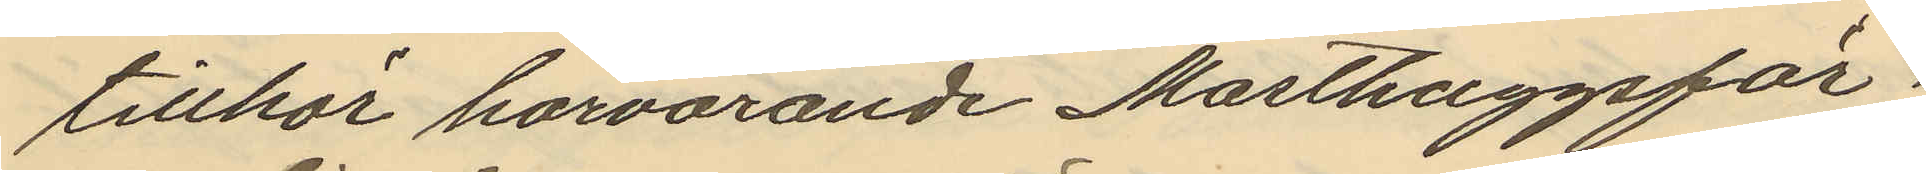tillhör härvarande Masthuggsför¬
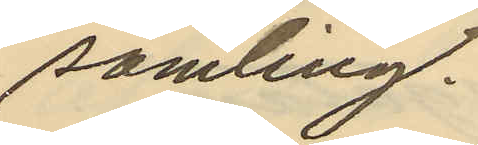samling.
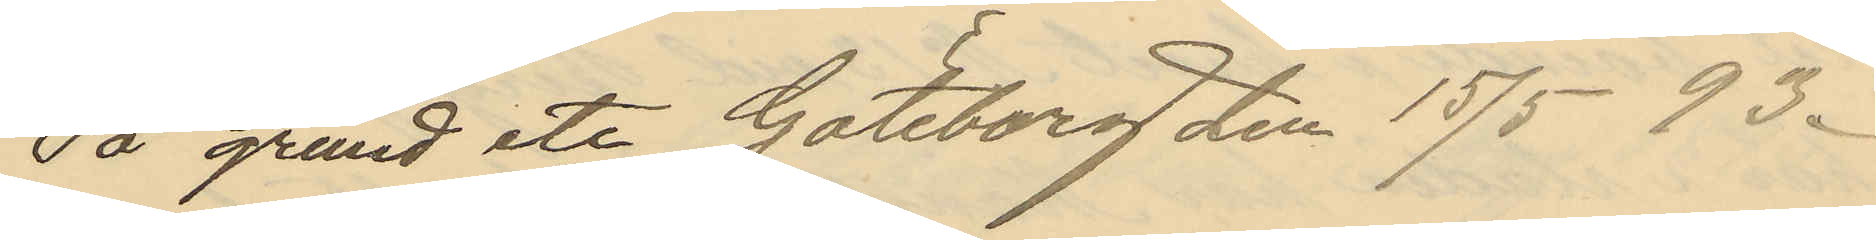På grund etc Göteborg den 15/5 93.
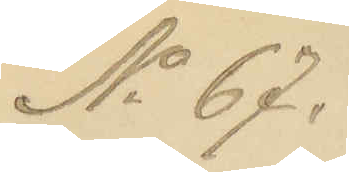No 67.
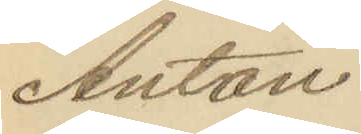Anton
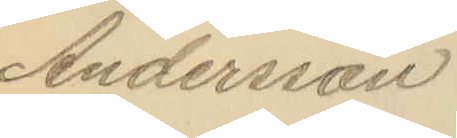Andersson
